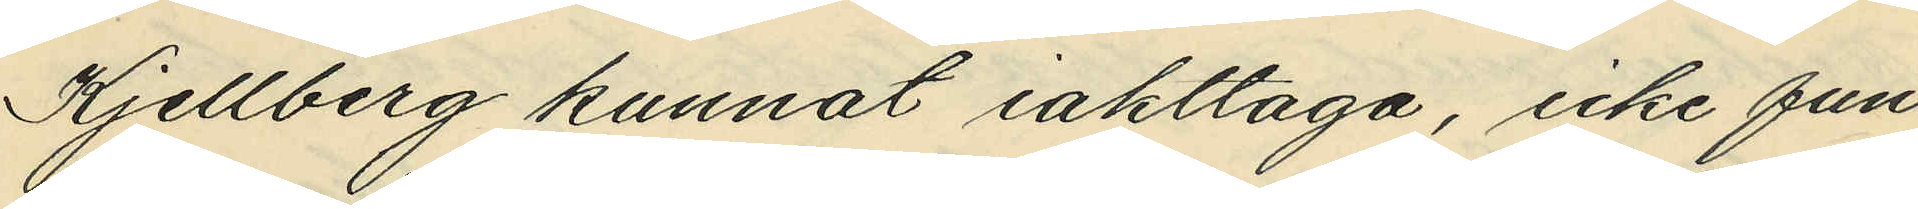Kjellberg kunnat iakttaga, icke fun¬
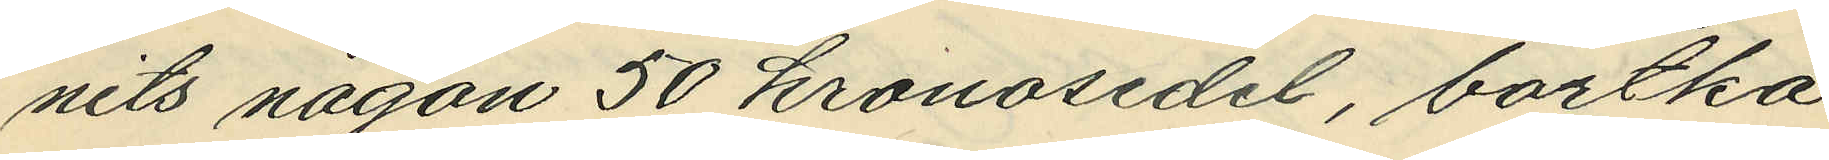nits någon 50 kronosedel, bortka¬
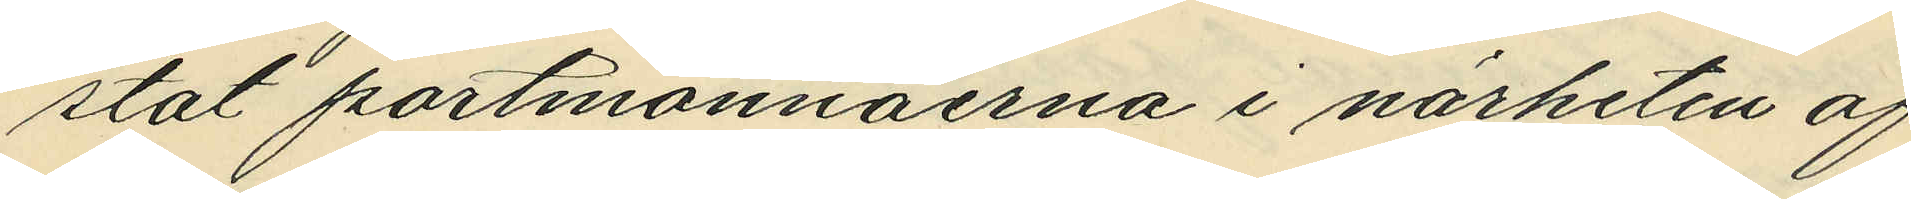stat portmonnäerna i närheten af
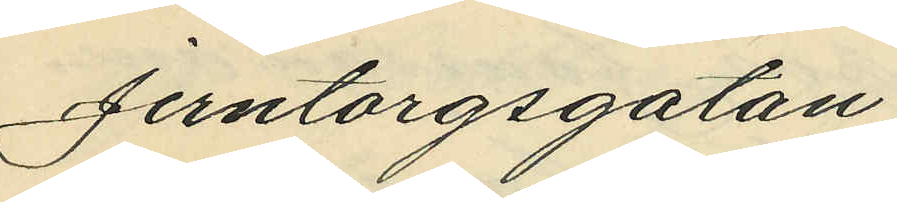Jerntorgsgatan;
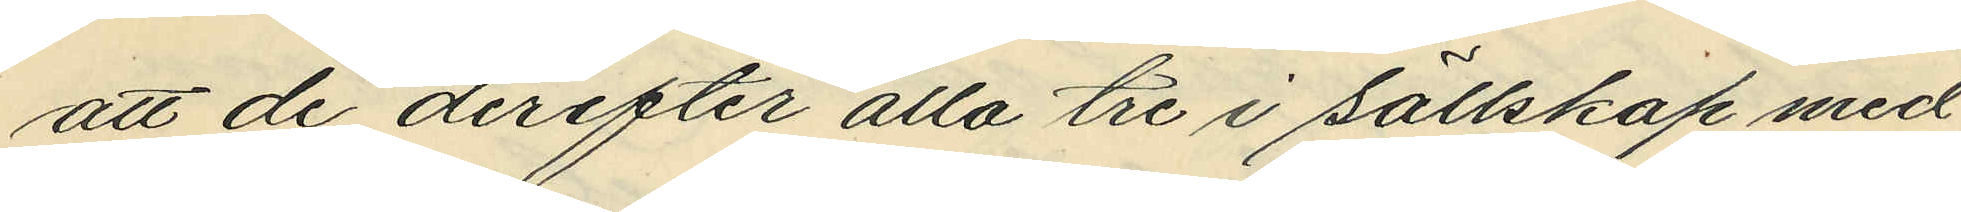att de derefter alla tre i sällskap med
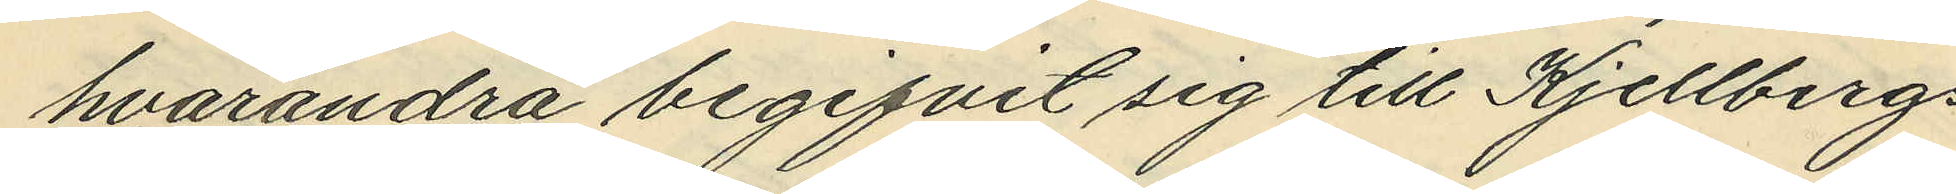hvarandra begifvit sig till Kjellbergs
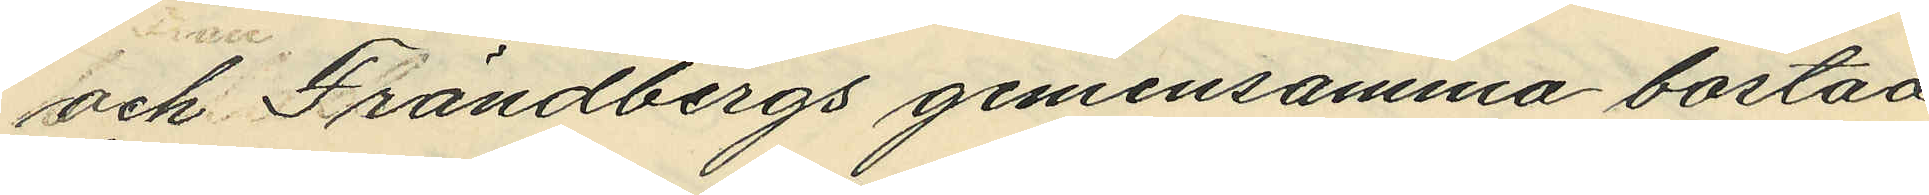och Frändbergs gemensamma bostad
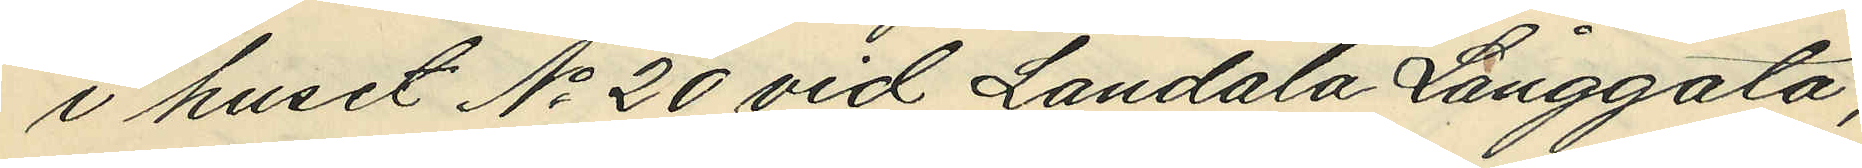i huset No 20 vid Landala Långgata;
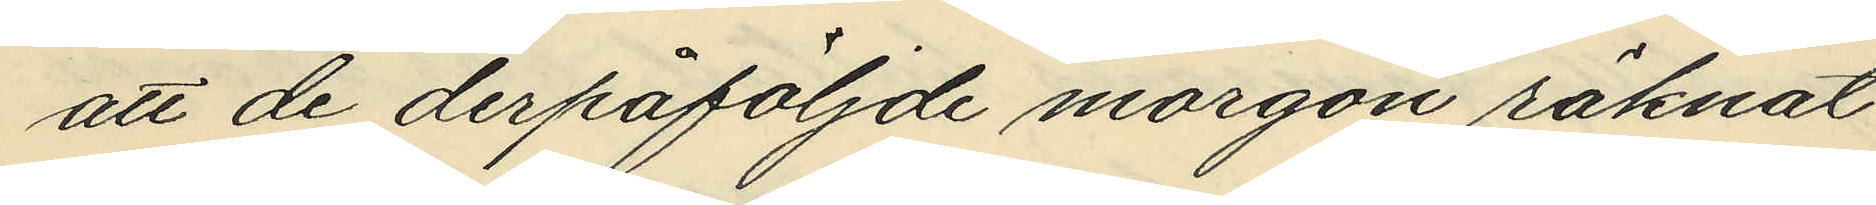att de derpåföljde morgon räknat
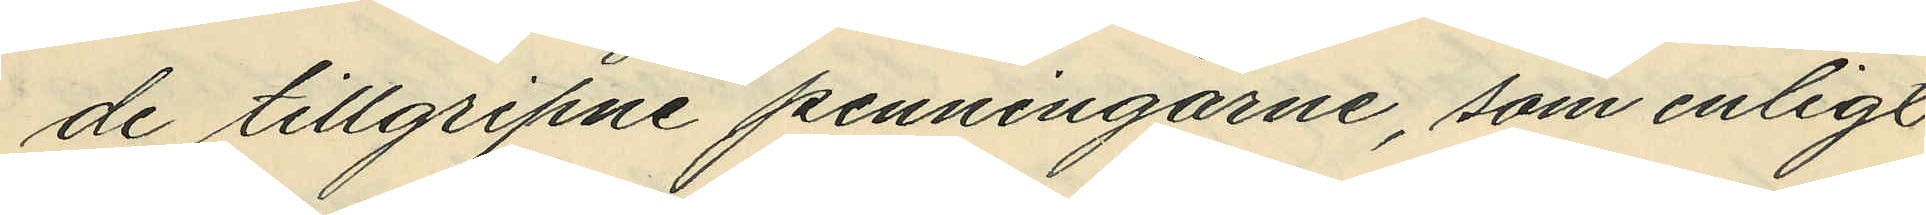de tillgripne penningarne, som enligt
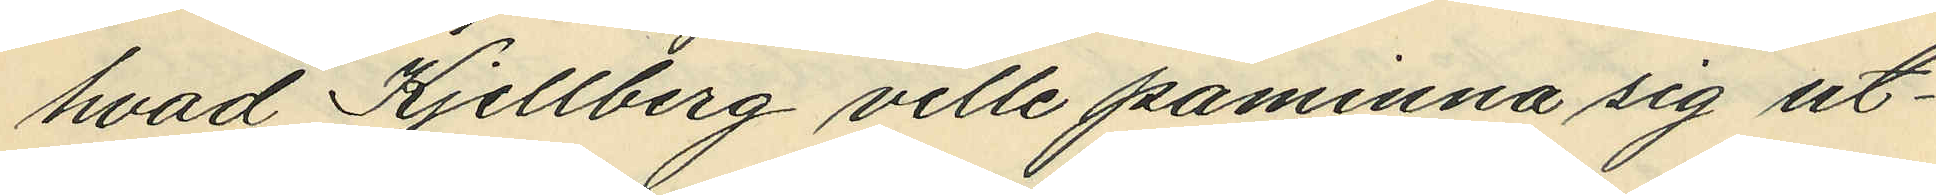hvad Kjellberg ville påminna sig ut¬
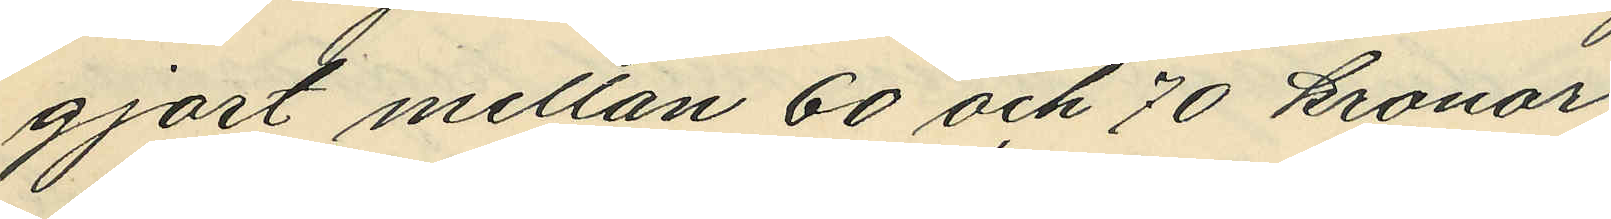gjort mellan 60 och 70 kronor;
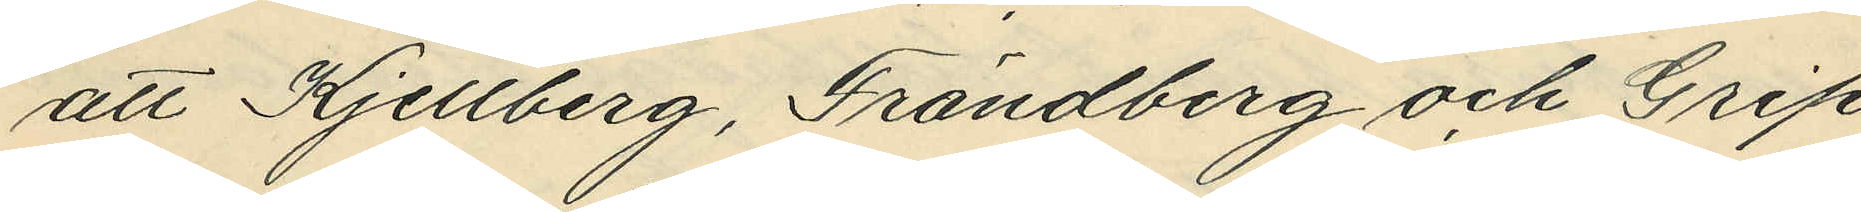att Kjellberg, Frändberg och Grip
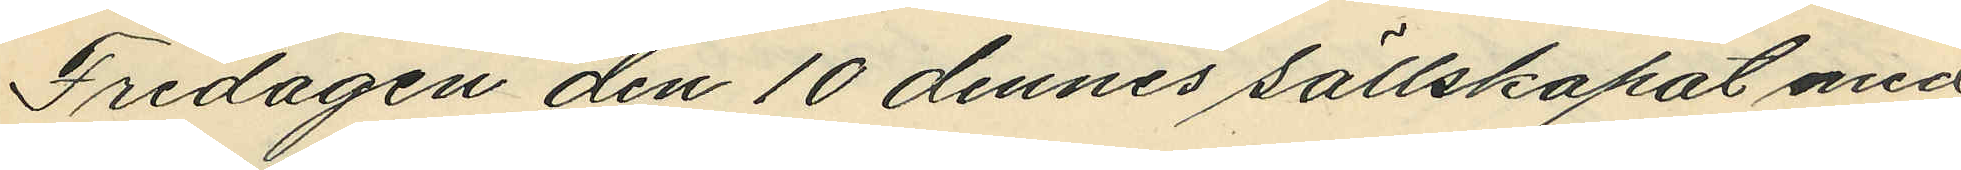Fredagen den 10 dennes sällskapat med
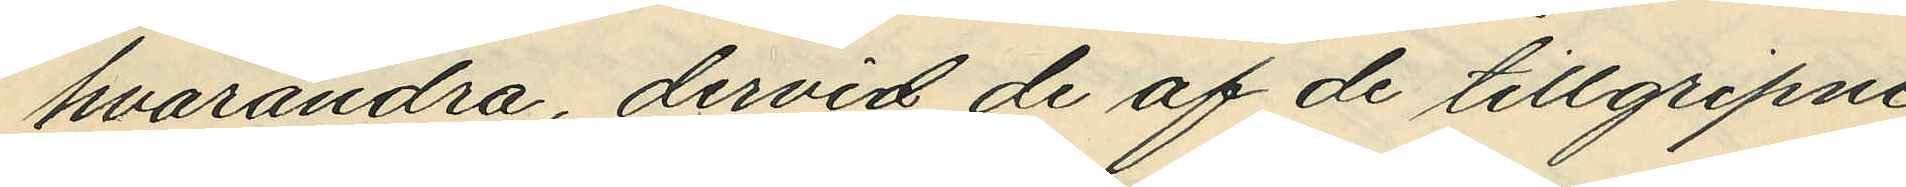hvarandra, dervid de af de tillgripne
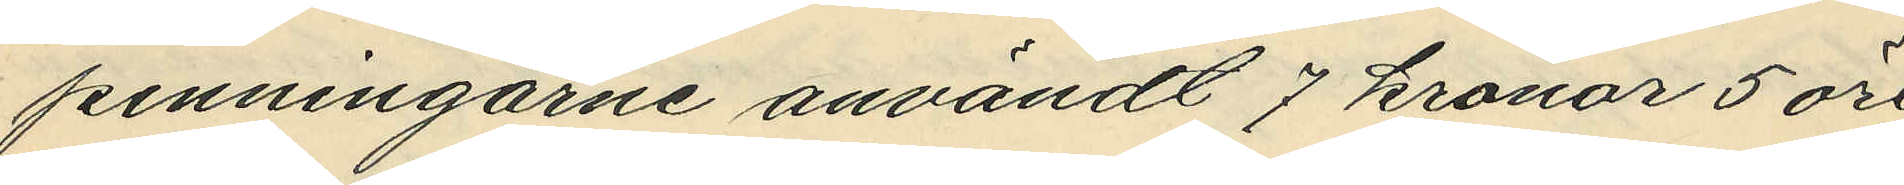penningarne användt 7 kronor 5 öre
